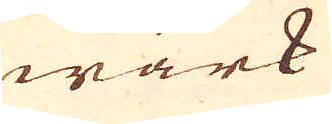wärk
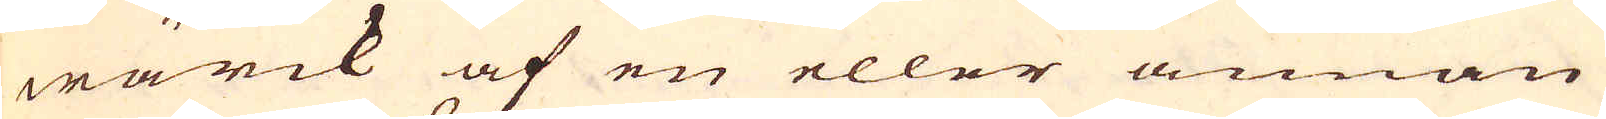wärck af en eller annan
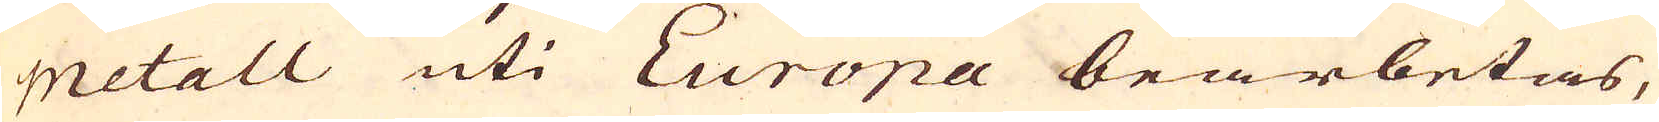metall uti Europa bearbetas,
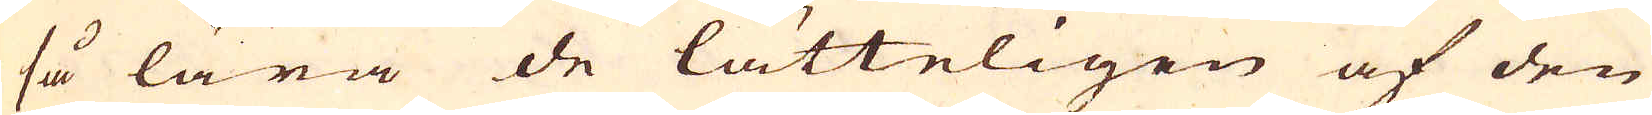så lära de lätteligen af den
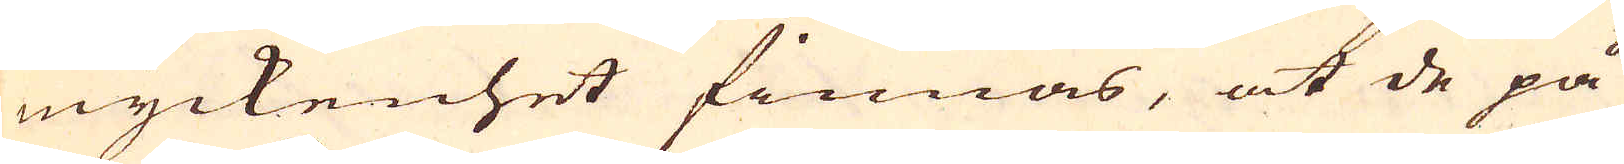myckenhet finnas, at de på
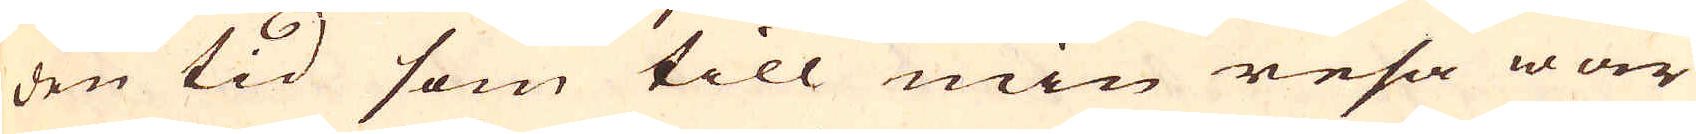den tid som till min resa war
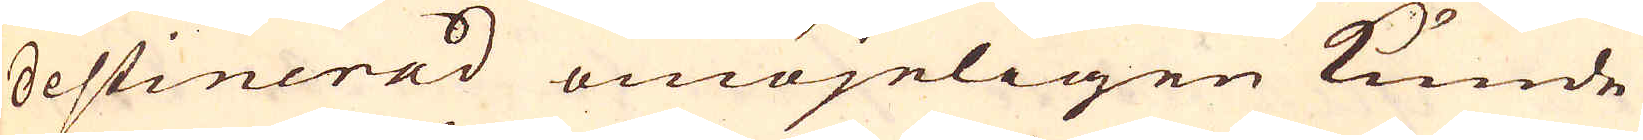destinerad omöjeligen kunde
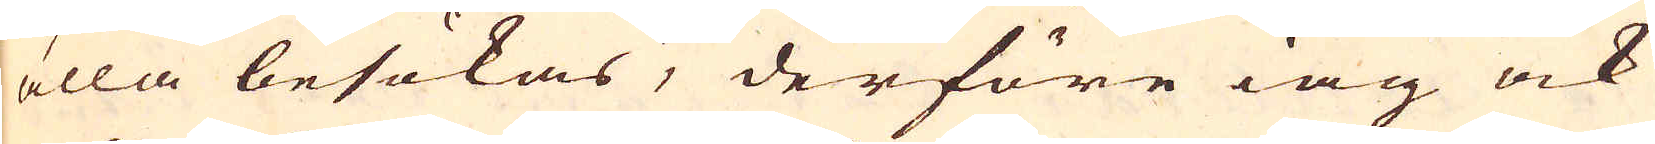alla besökas, derföre iag ock
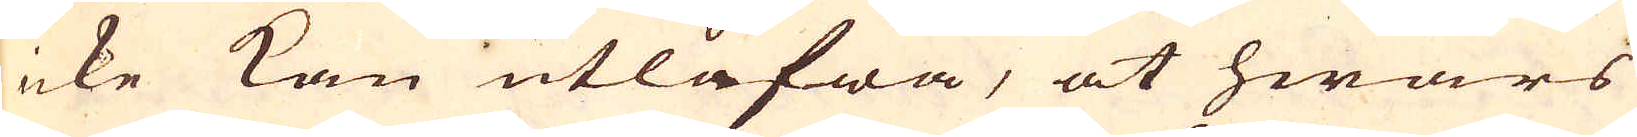icke kan utlåfwa, at hwars
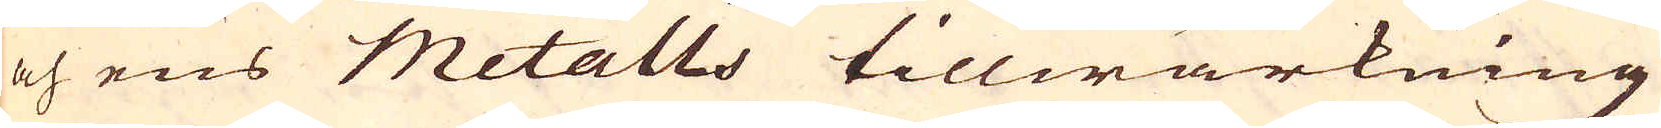och ens Metalls tillwärkning
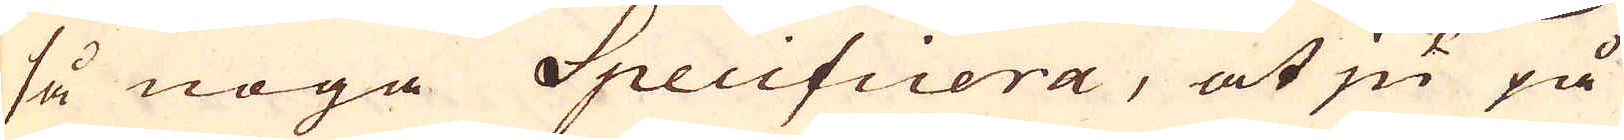så noga Specificera, at ju på
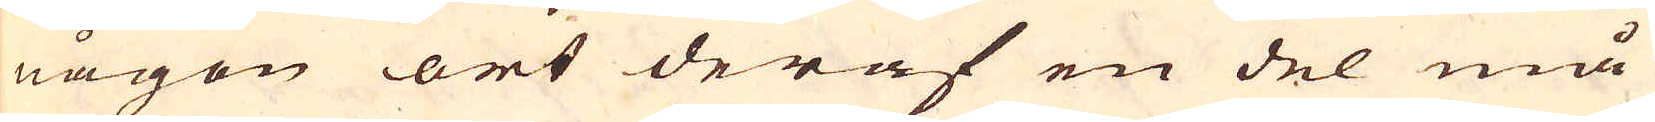någon ort deraf en del må
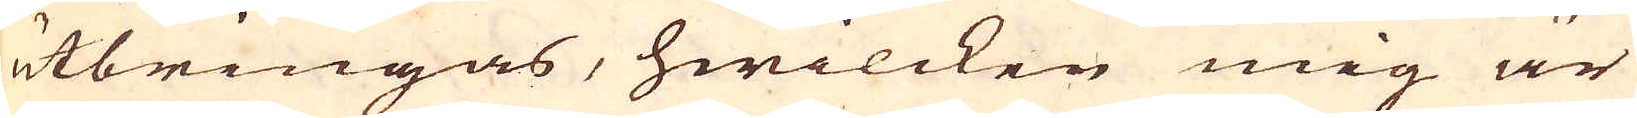utbringas, hwilcken mig är
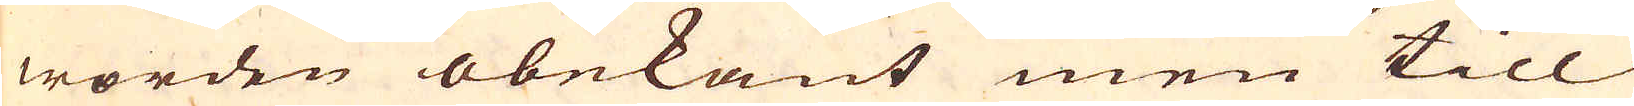worden obekant men till
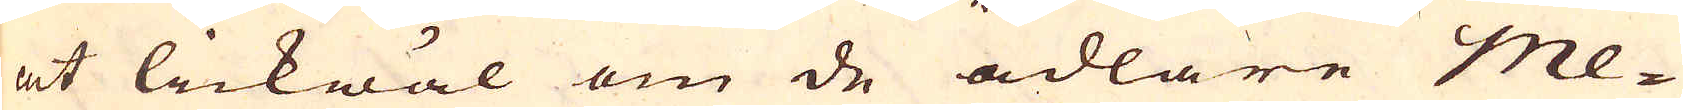at lickwäl om de ädlare Me-
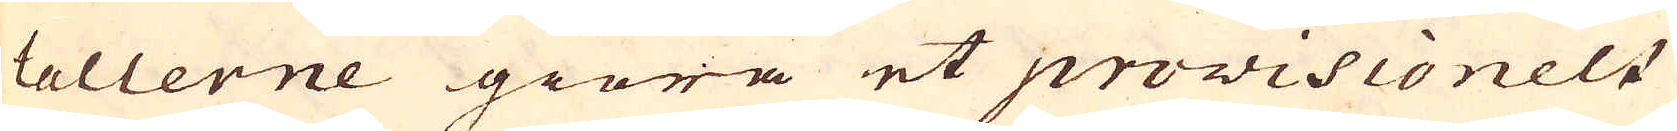tallerne giöra et provisionelt
